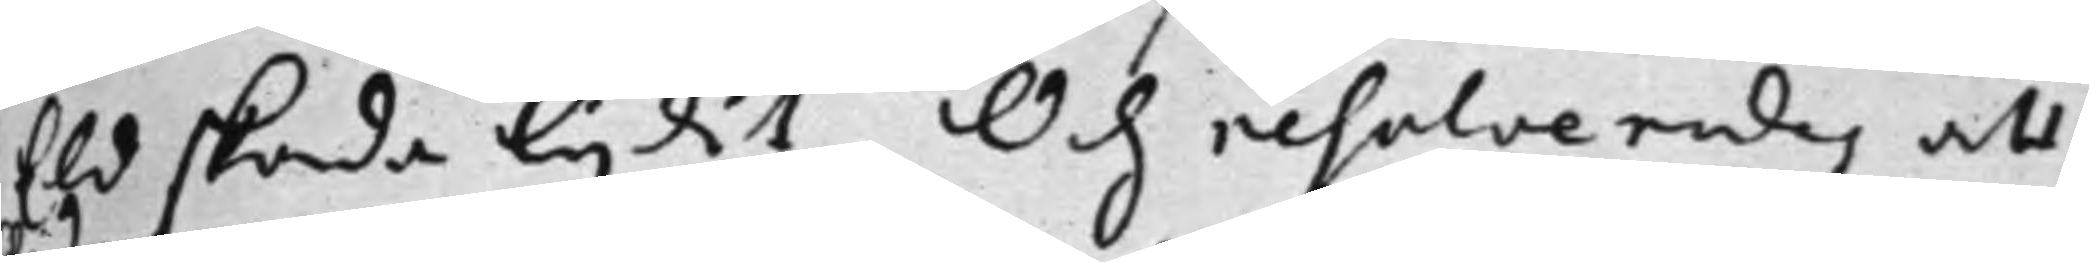Eld skada lijdit, Och resolverades att
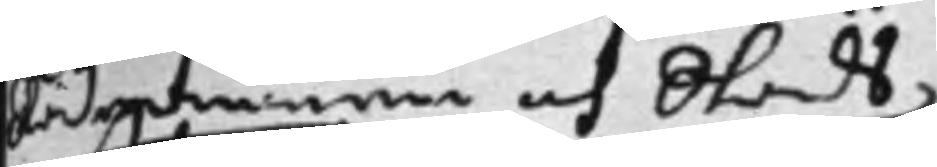Rådmannen och Stads¬
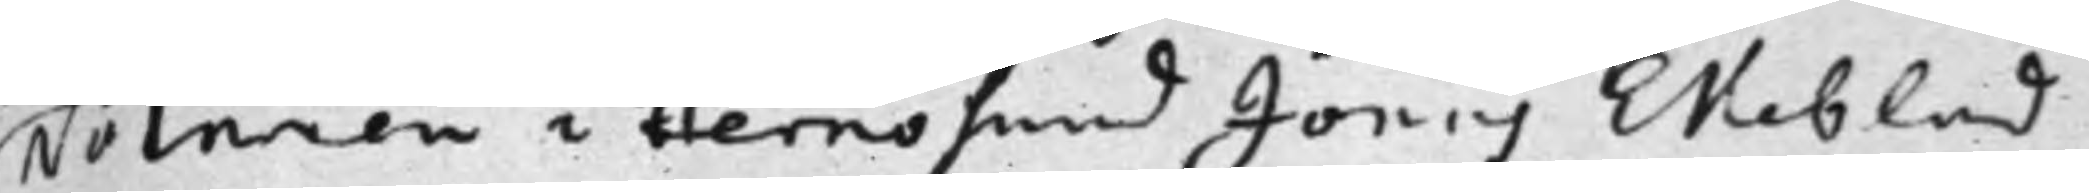Notarien i Hernösand Jonas Ekeblad,
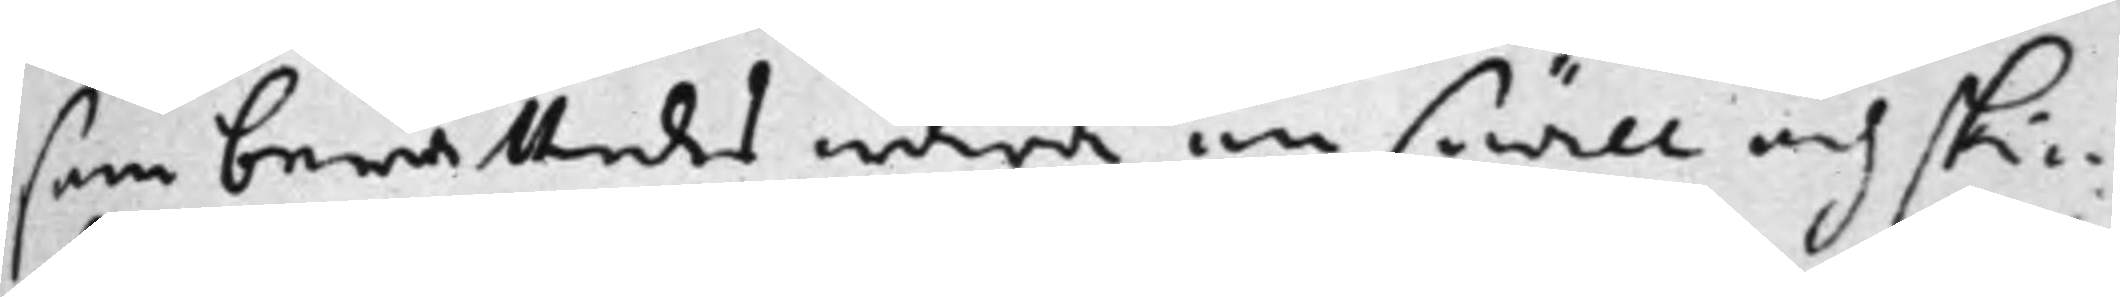som berättades wara en snäll och ski¬
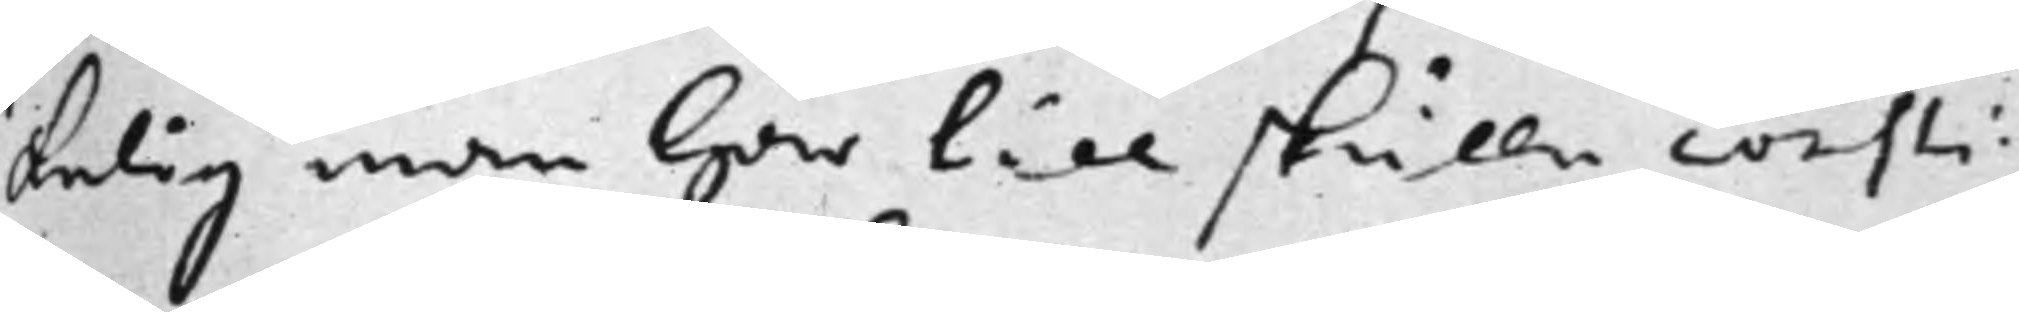kelig man här till skulle consti¬
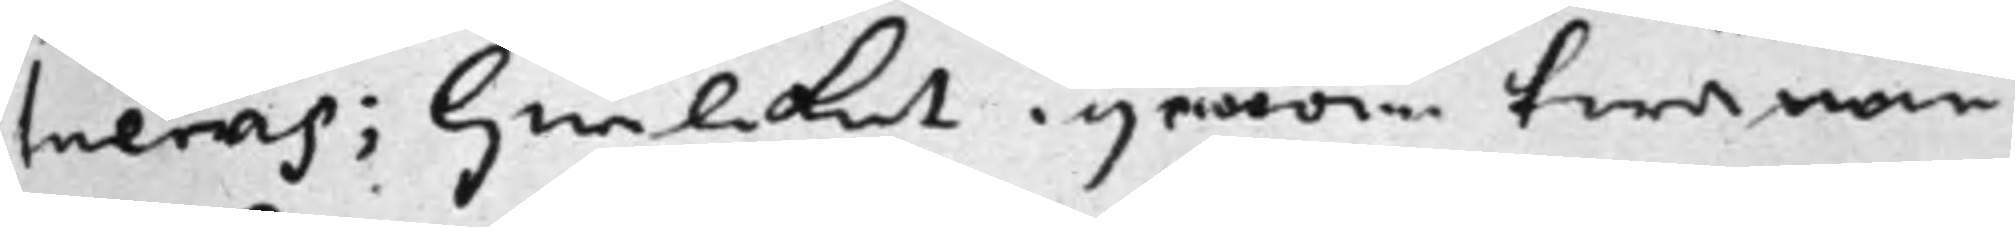tueras; hwilcket igenom twänne
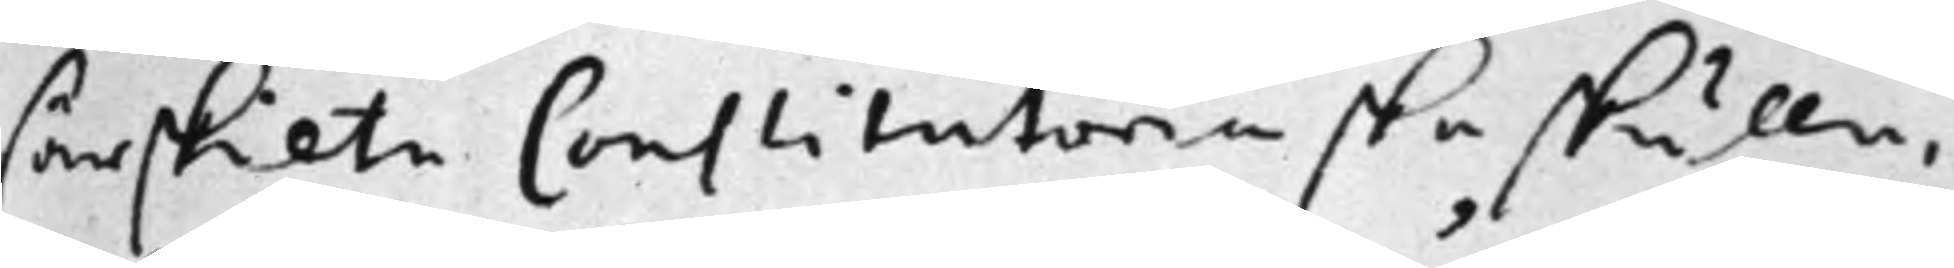särskilte Constitutorier ska skulle,
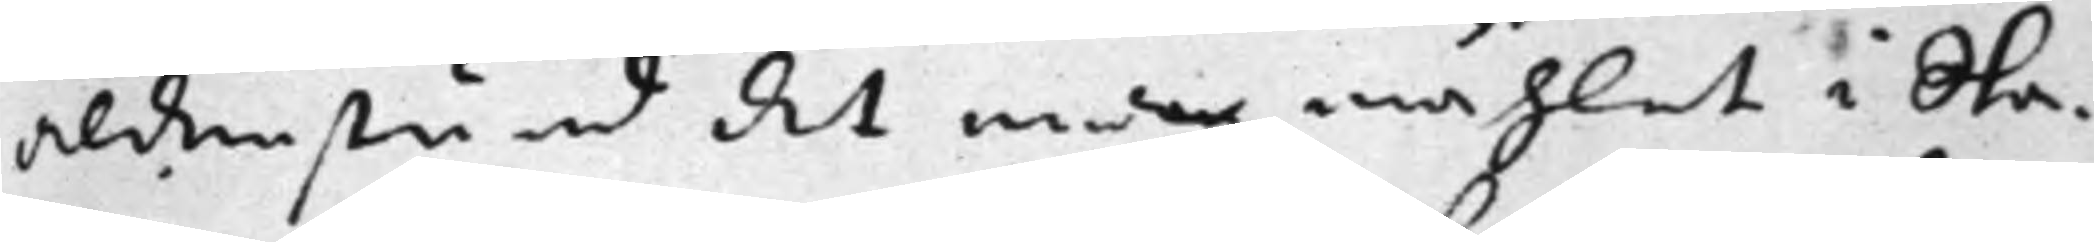aldenstund det medan måhlet i Sta¬
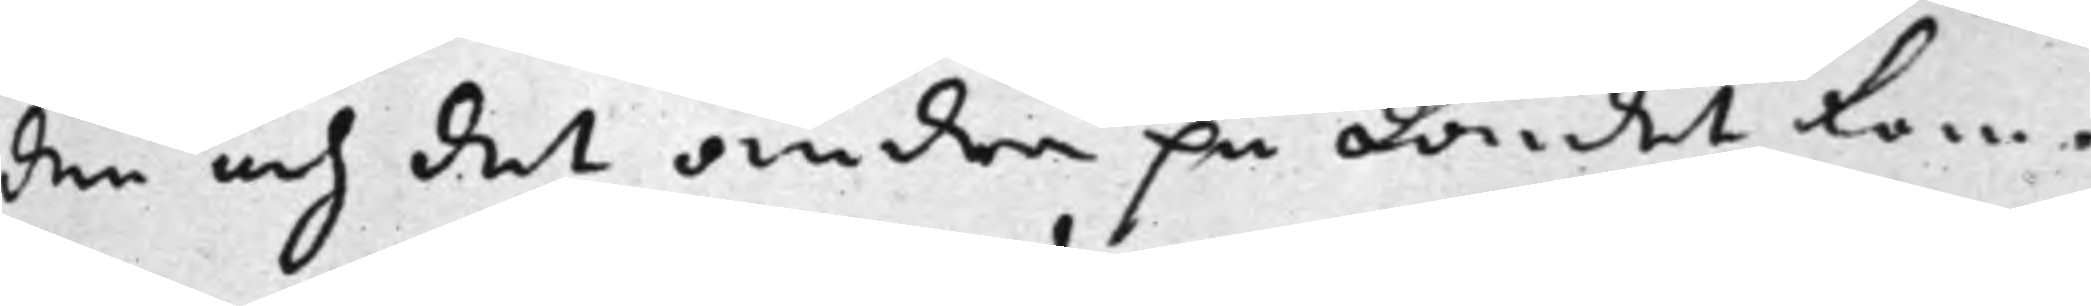den och det andra på Landet kom¬
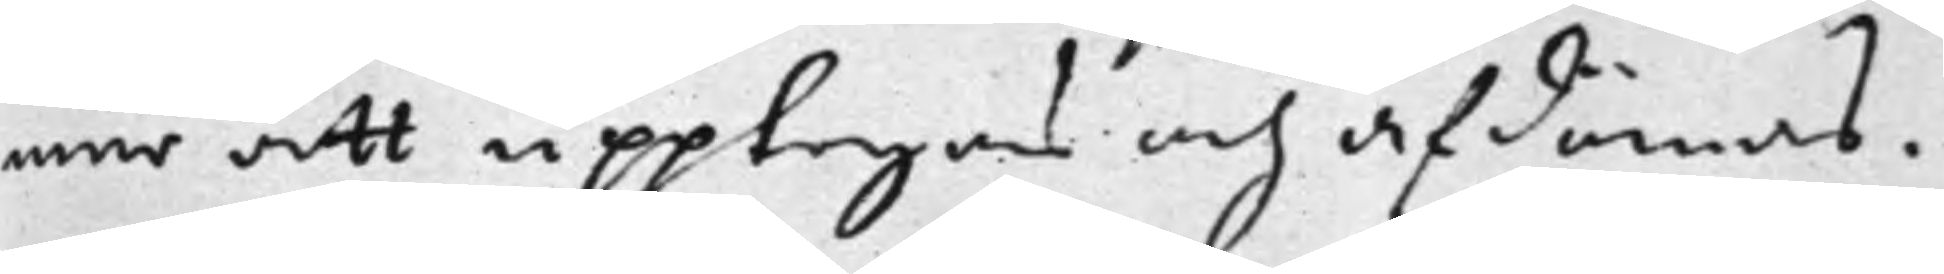mer att upptagas och afdömas.
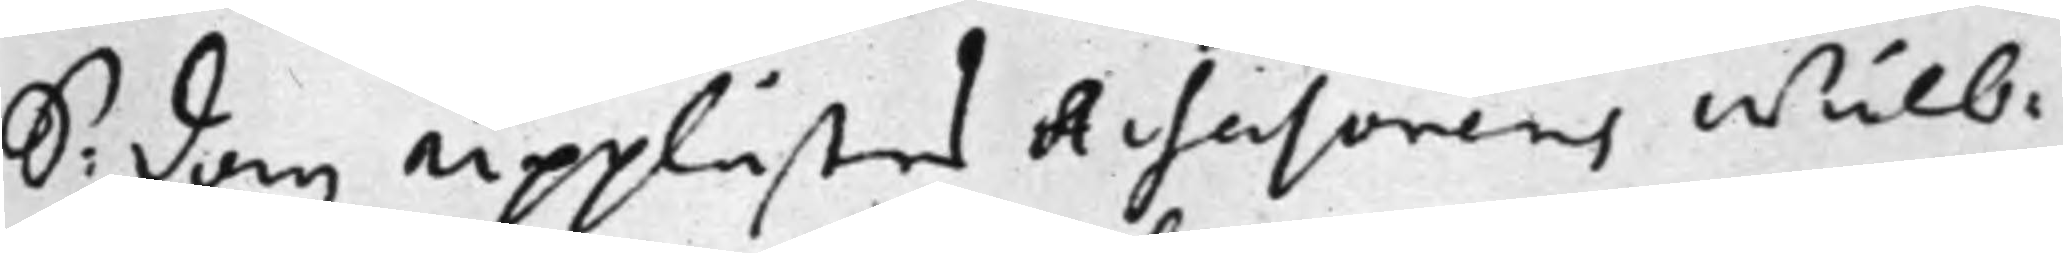S: dag upplästes Assessorens Wälb:
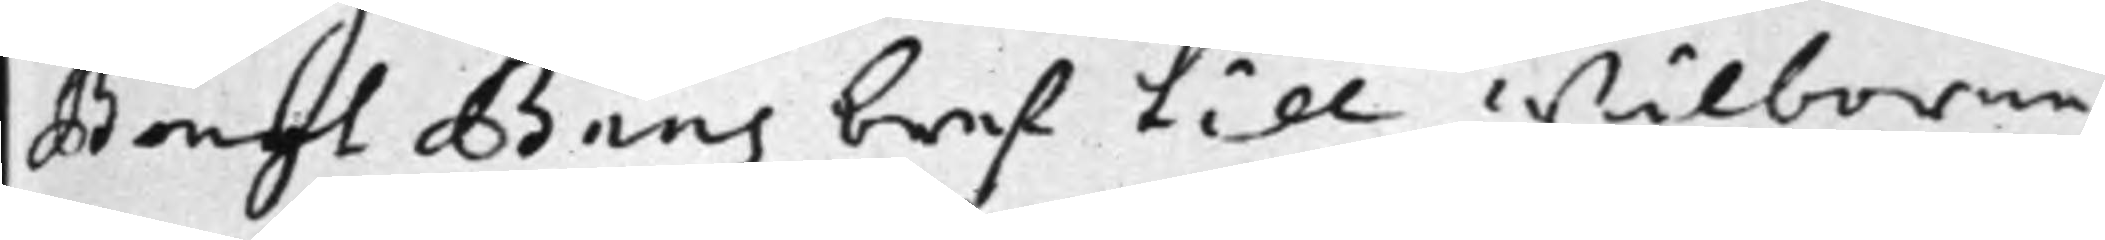Bengt Baas bref till Wälborne
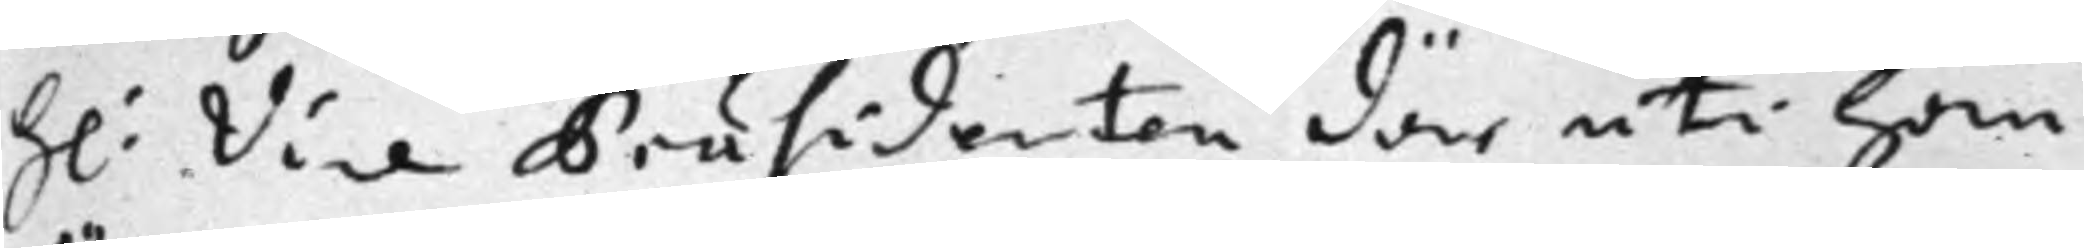H: Vice Präsidenten där uti han
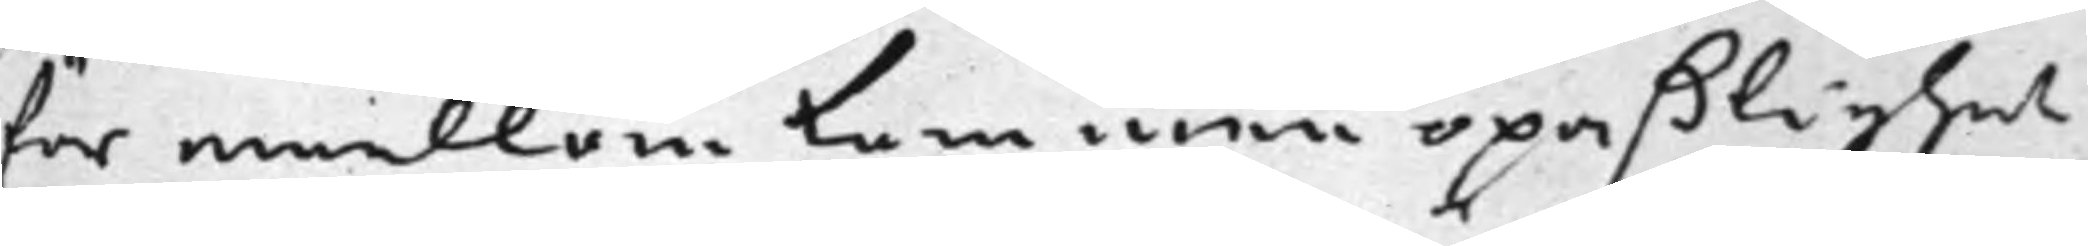för emellan kommen opaßlighet
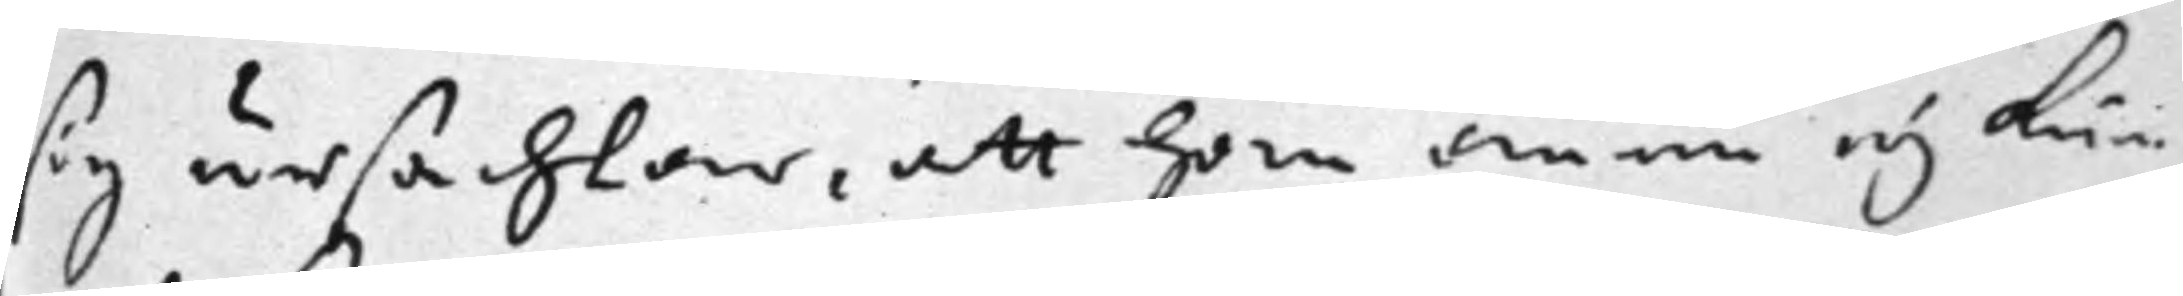sig ursächtar, att han ännu eij kun¬
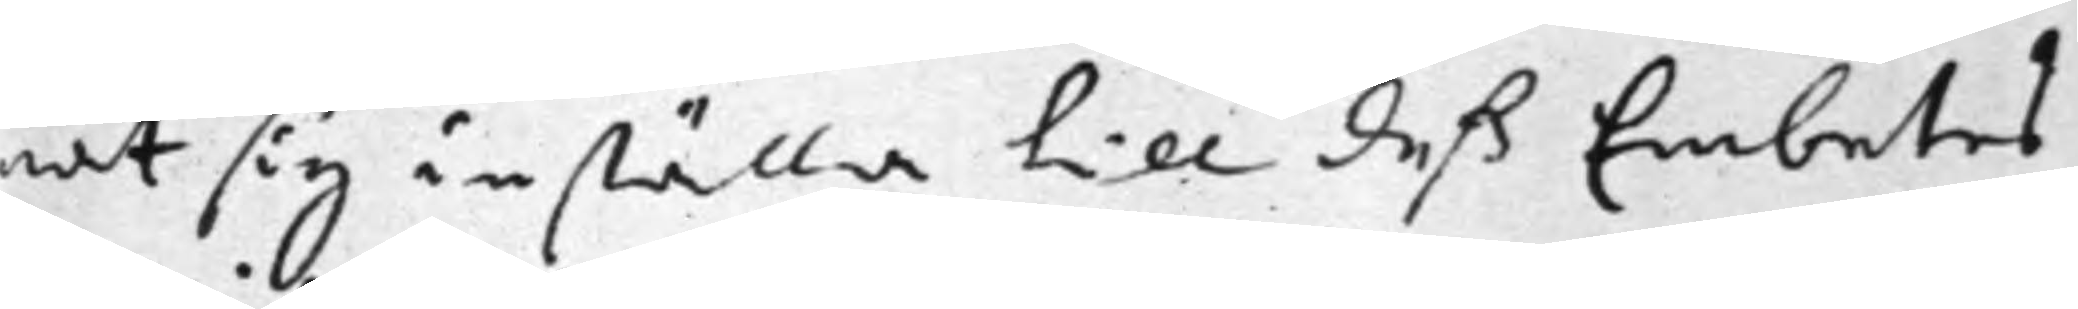nat sig inställa till deß Embetes
